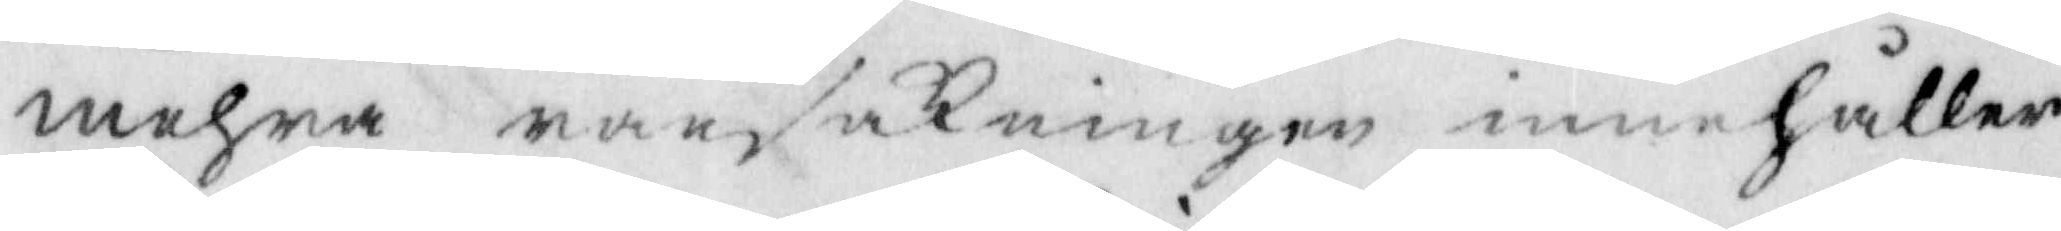mehra ransakningen innehåller.
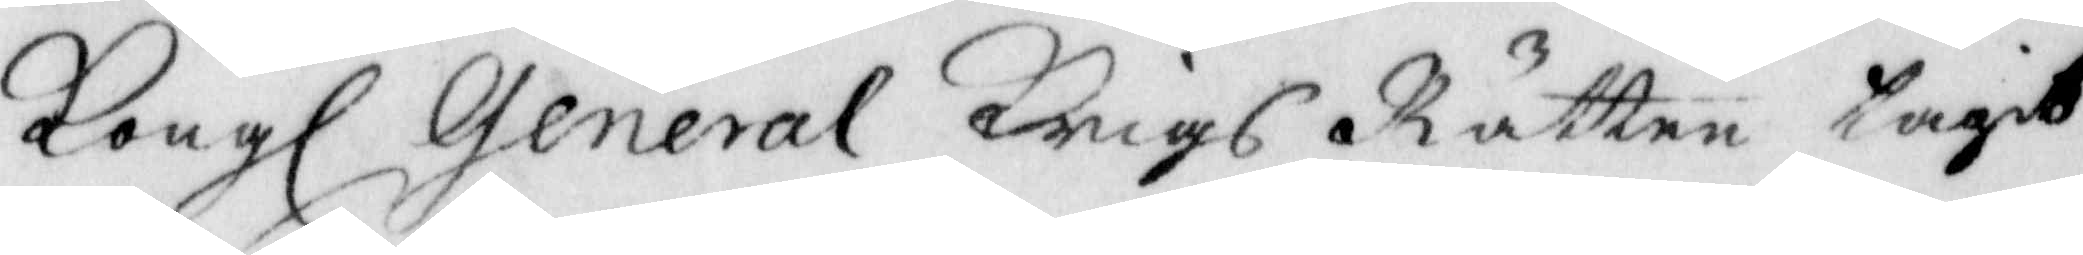Kongl General Krigs Rätten tagit
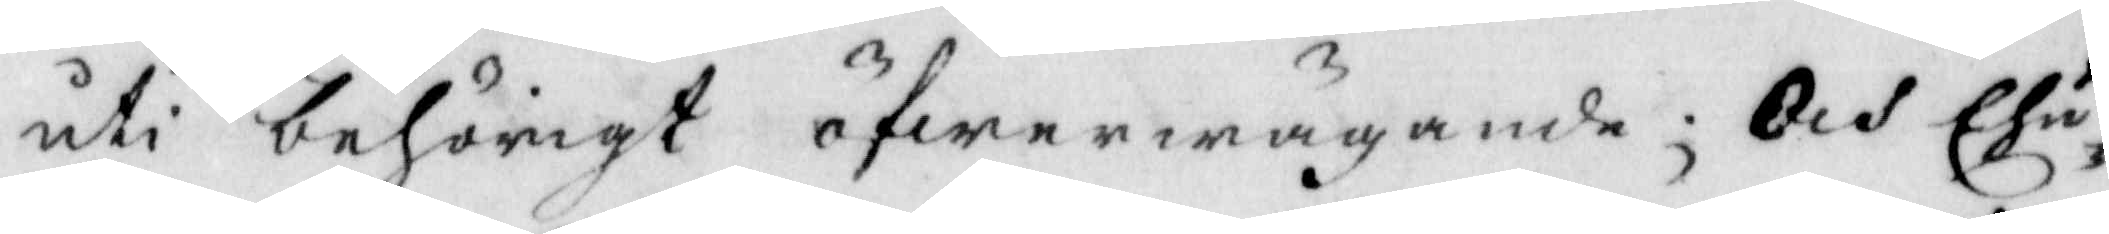uti behörigt öfwerwägande; Och Ehu¬
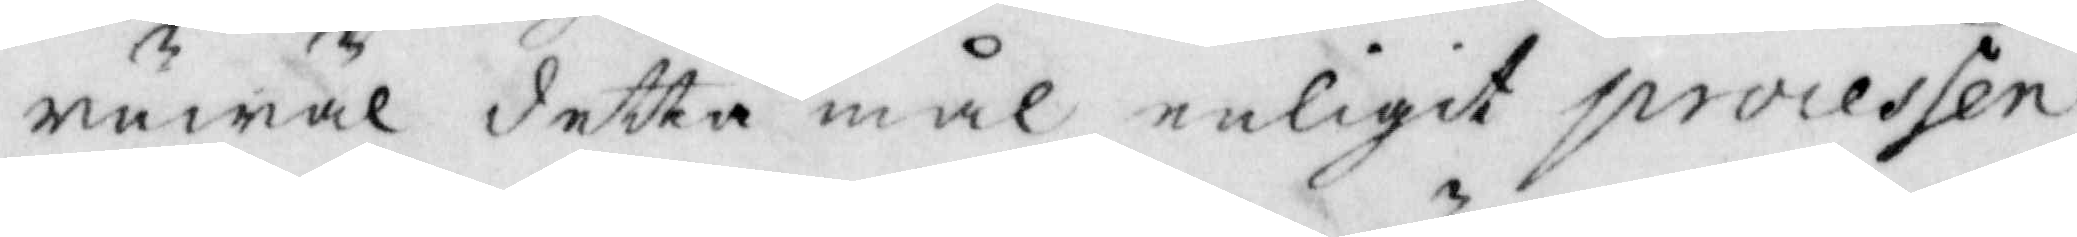ruwäl detta mål, enligt processen
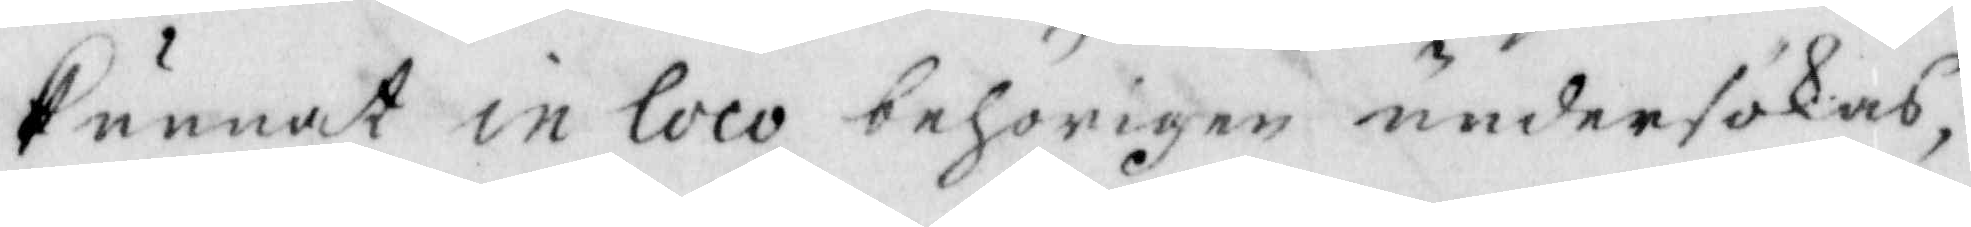kunnat in loco behörigen undersökas,
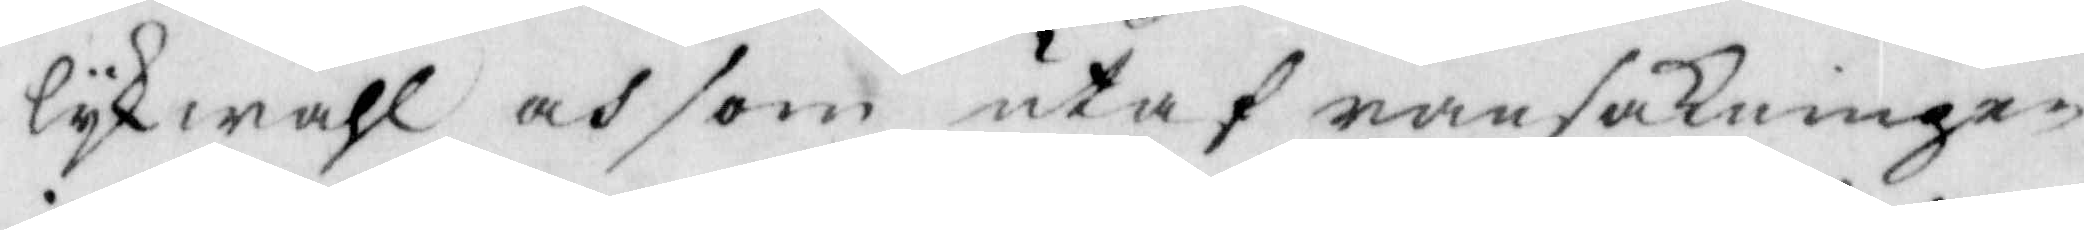lykwähl och som utaf ransakningen
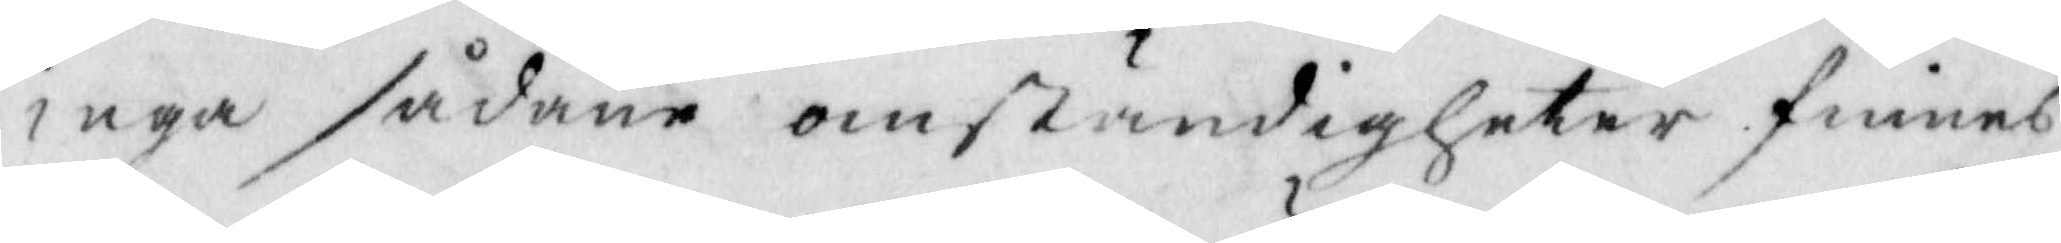inga sådana omständigheter finnes
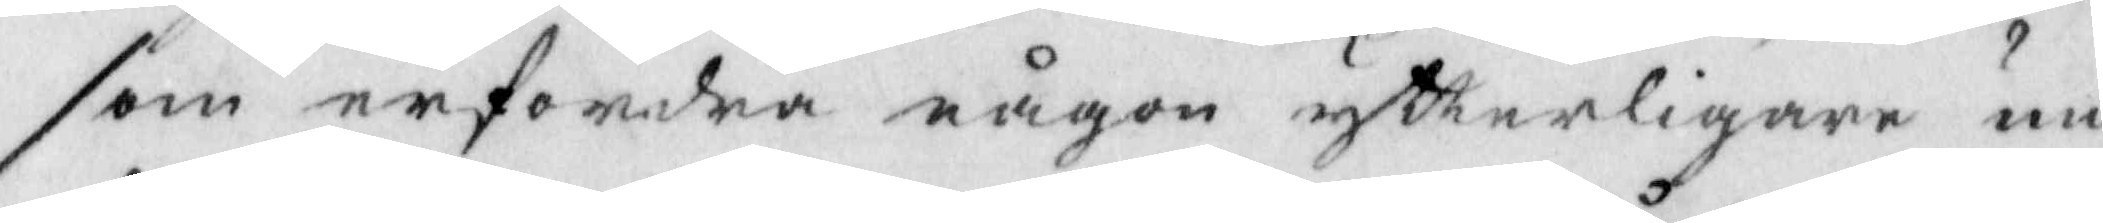som erfordra någon ytterligare un¬
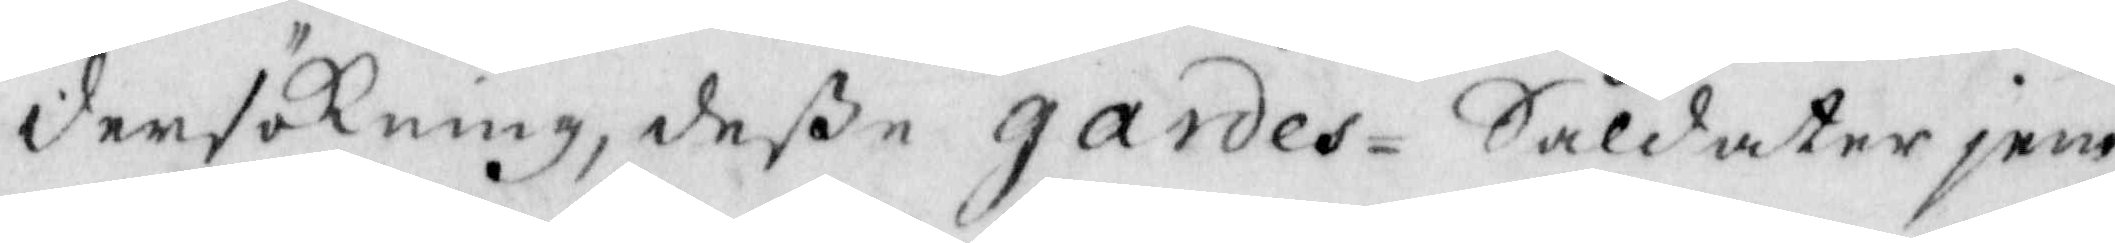dersökning, deße Hardes-Soldater jem¬
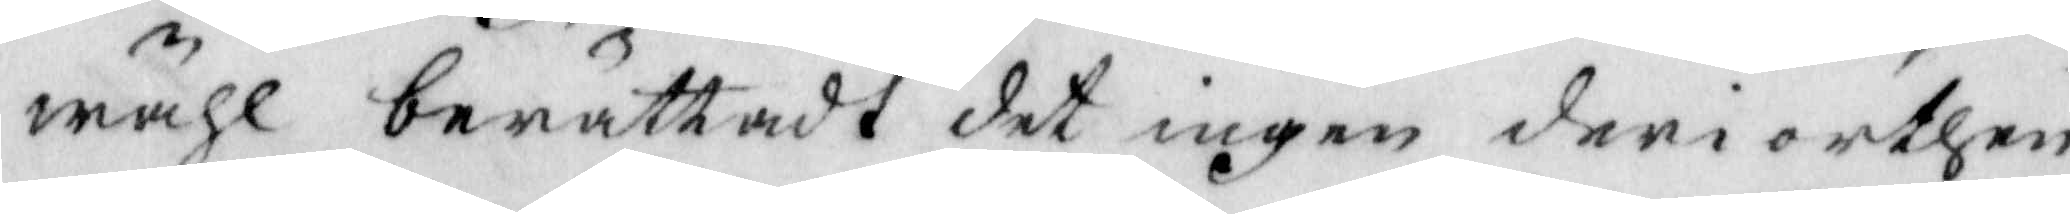wähl berättadt det ingen deri orthen
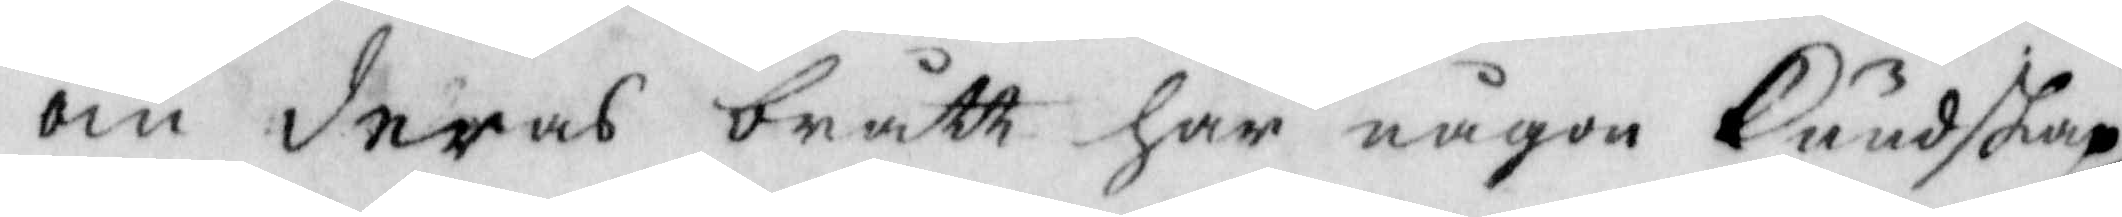om deras brått har någon kundskap
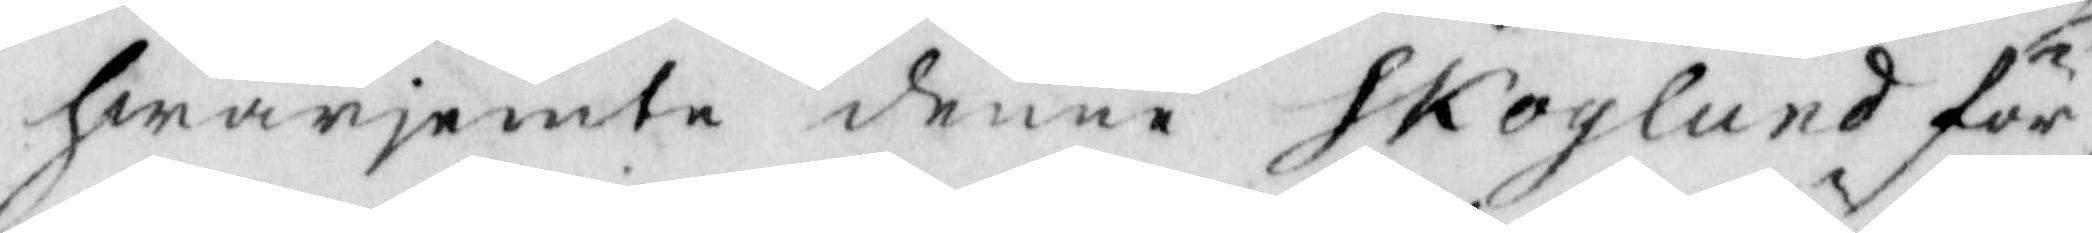hwarjemte denne Skoglund för¬
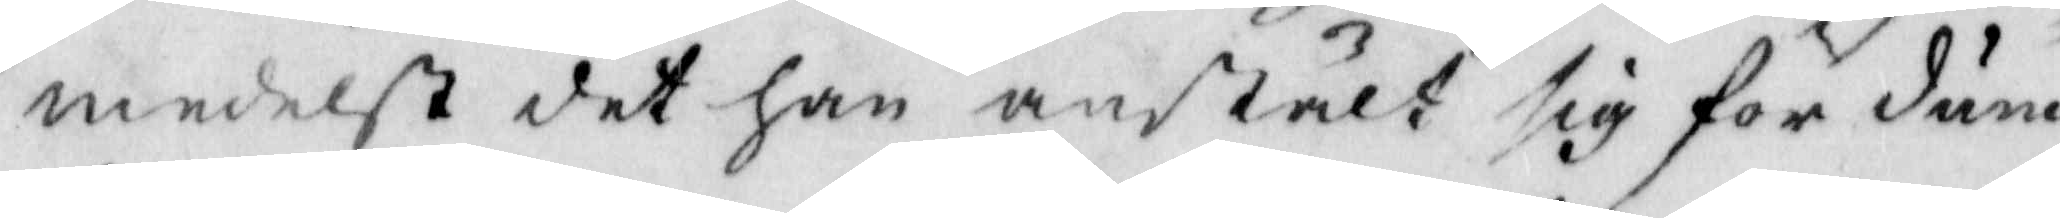medelst det han anstält sig för dum¬
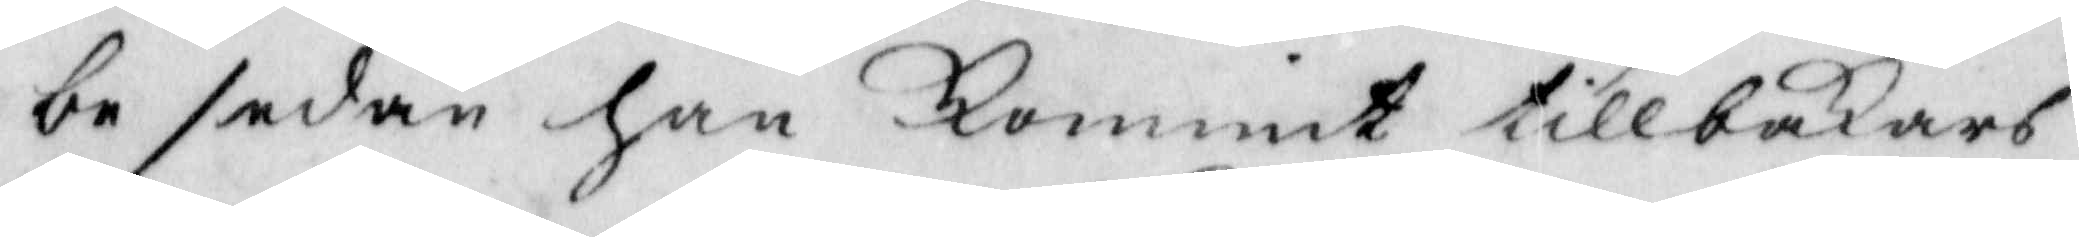be sedan han kommit tillbakars
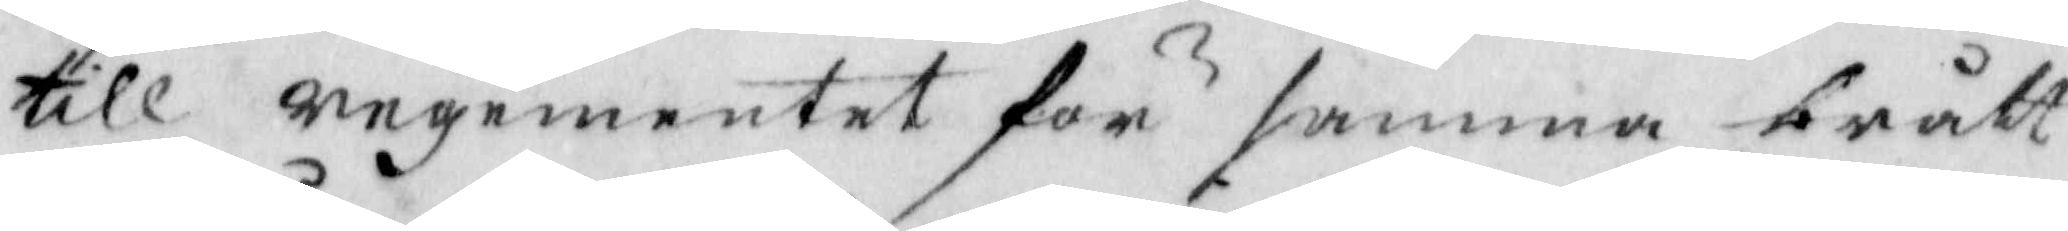till regementet för samma brått
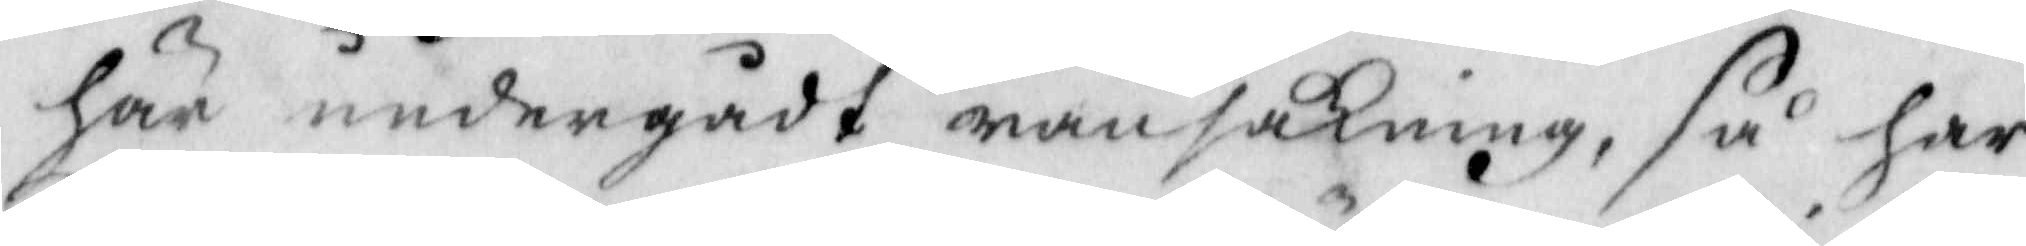här undergådt ransakning, så har
